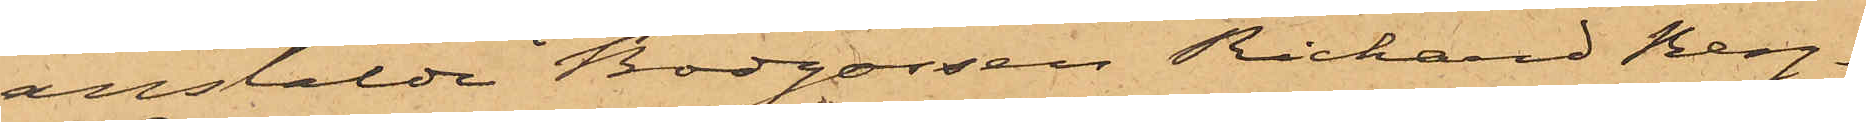anstälde Bodgossen Richard Berg¬
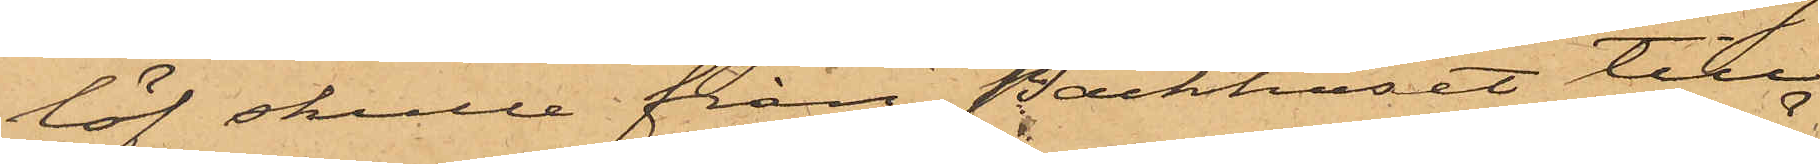löf skulle från Packhuset till
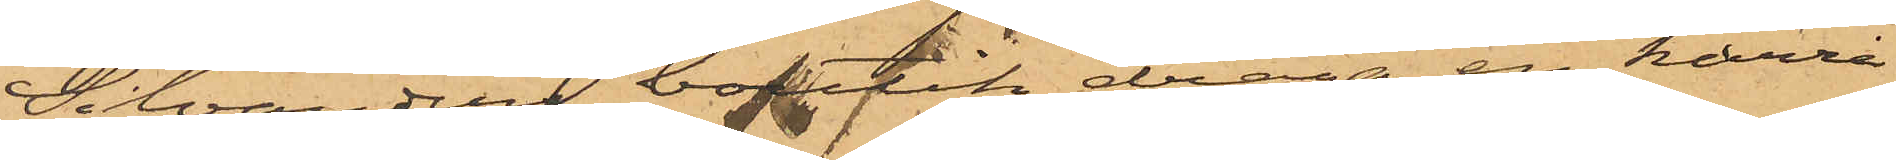Silvanders butik draga en kärra
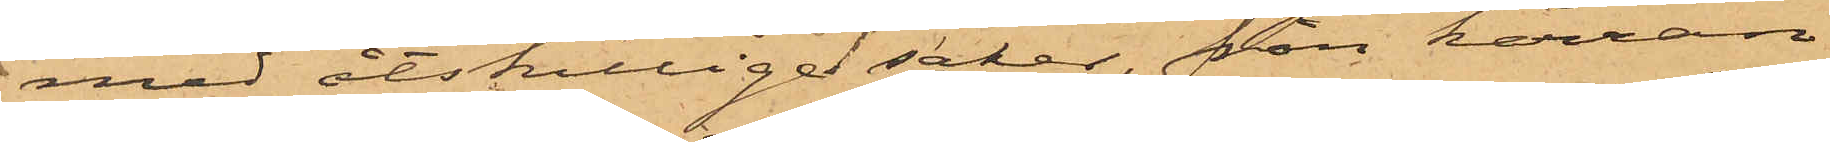med åtskillige saker, från kärran
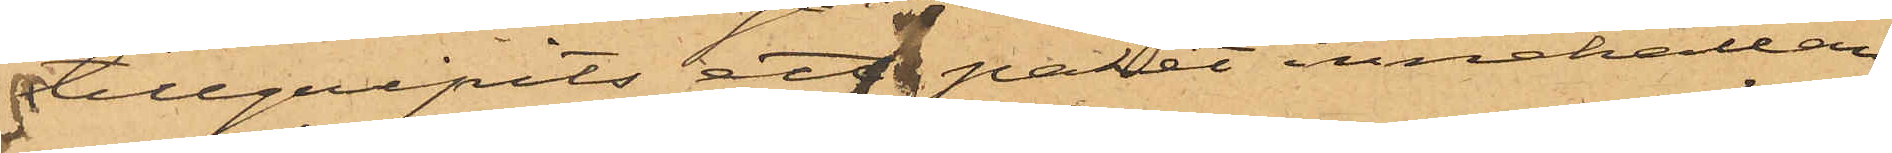tillgripits ett paket innehållan¬
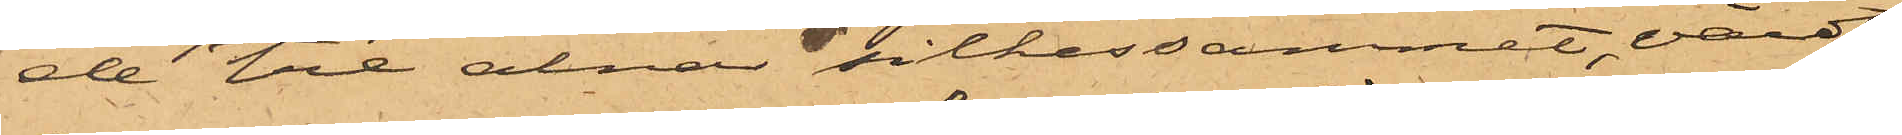de tre alnar silkessammet, värdt
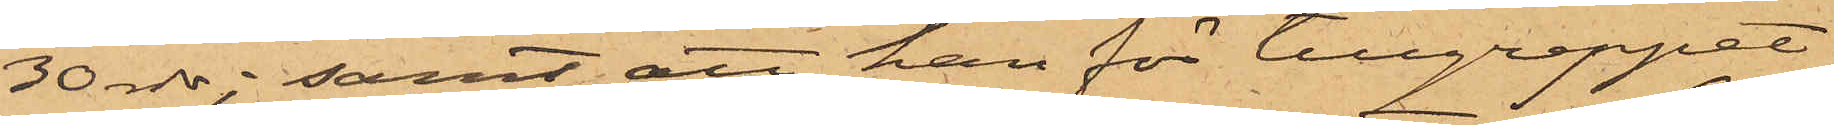30 rdr; samt att han för tillgreppet
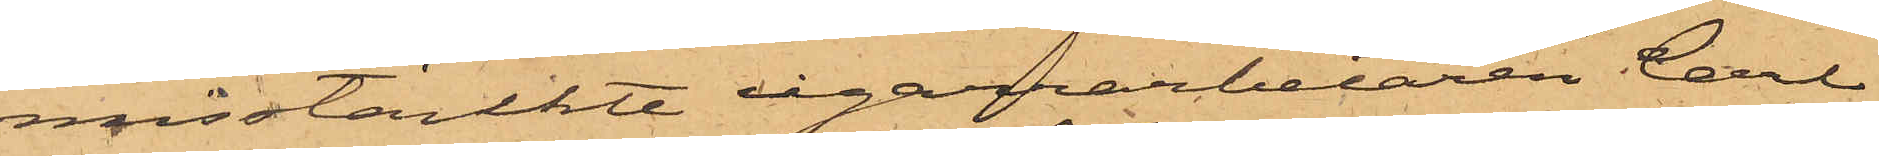misstänkte cigarrarbetaren Carls¬
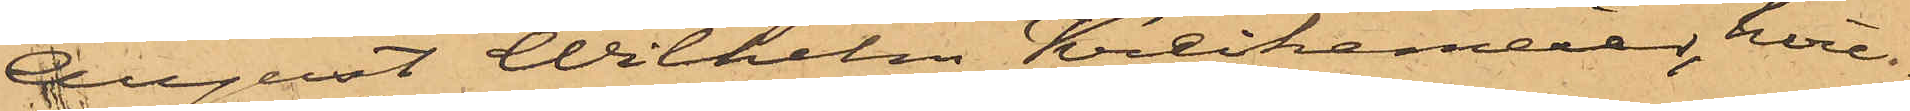August Wilhelm Kreikemeier, hvil¬
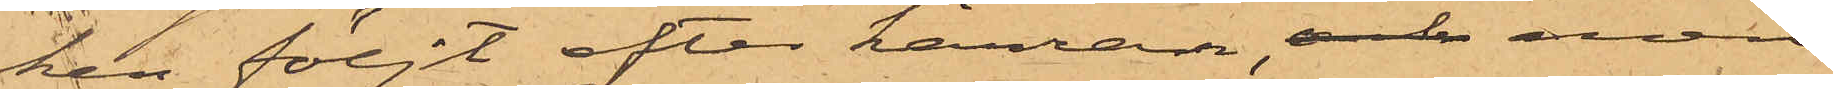ken följt efter kärran, och men
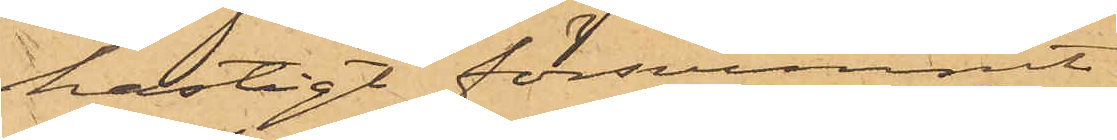hastigt försvunnit.
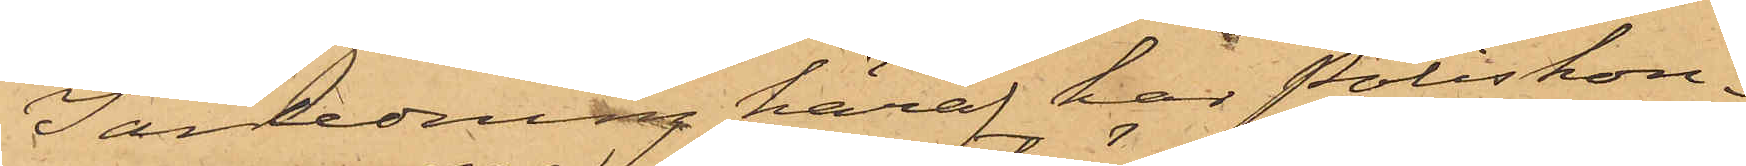I anledning häraf har Poliskon¬
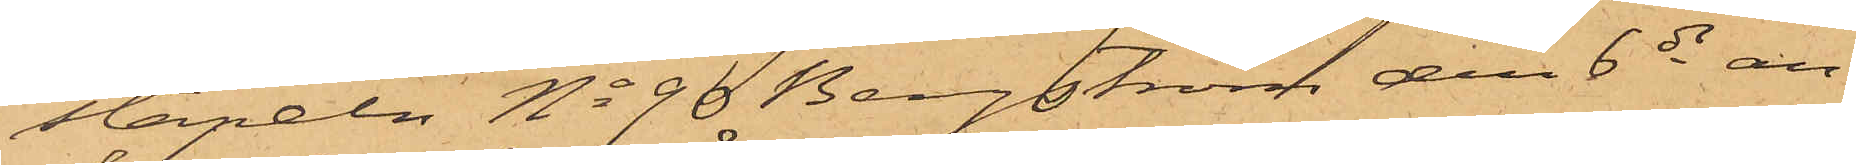stapeln No 96 Bergström den 6 ds an¬
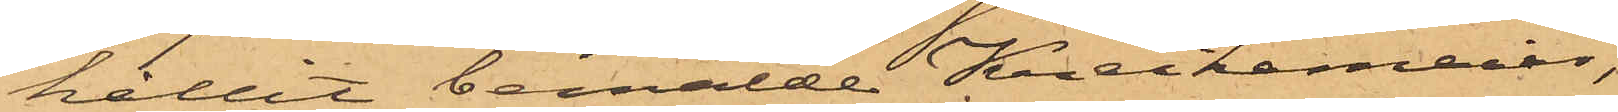hållit bemälde Kreikemeier,
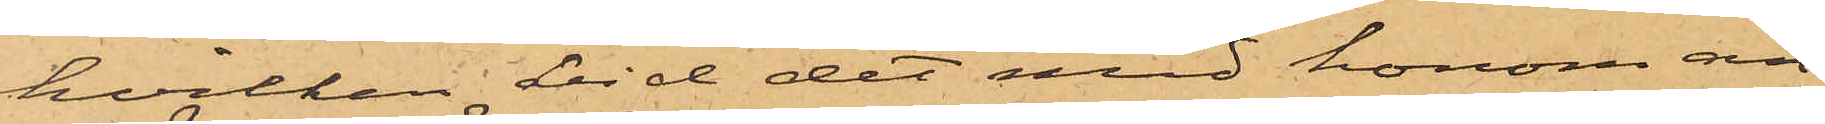hvilken vid det med honom an¬
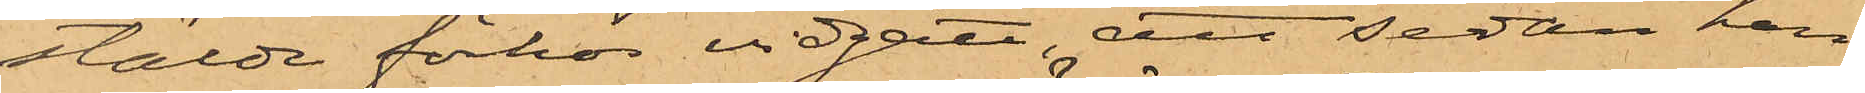stälde förhör vidgått, att sedan han
